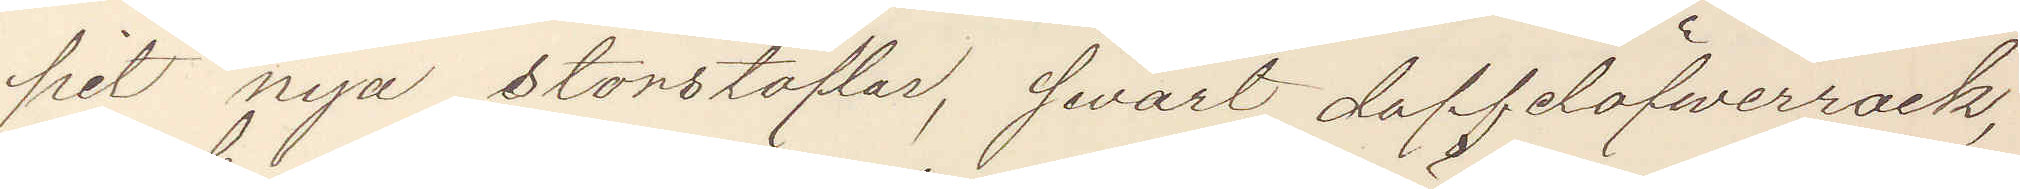pit nya storstöflar, swart doffelöfverrock,
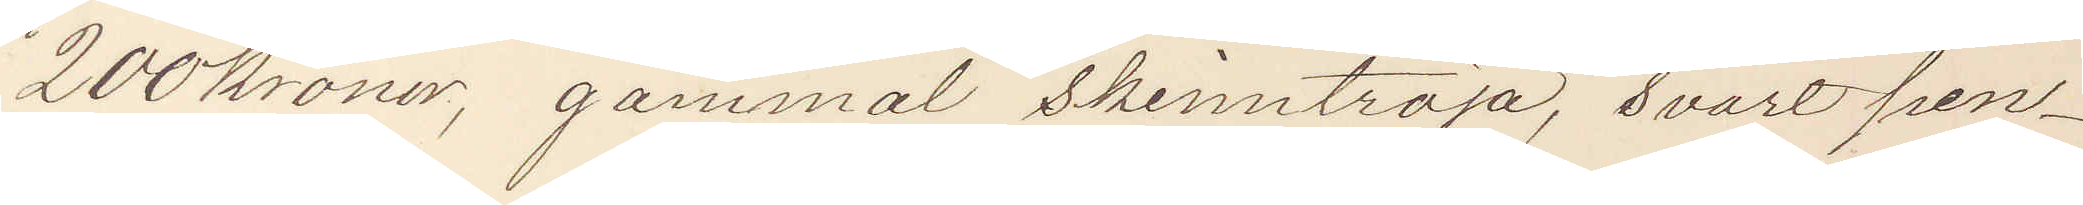200 kronor, gammal skinntröja, svart pen¬
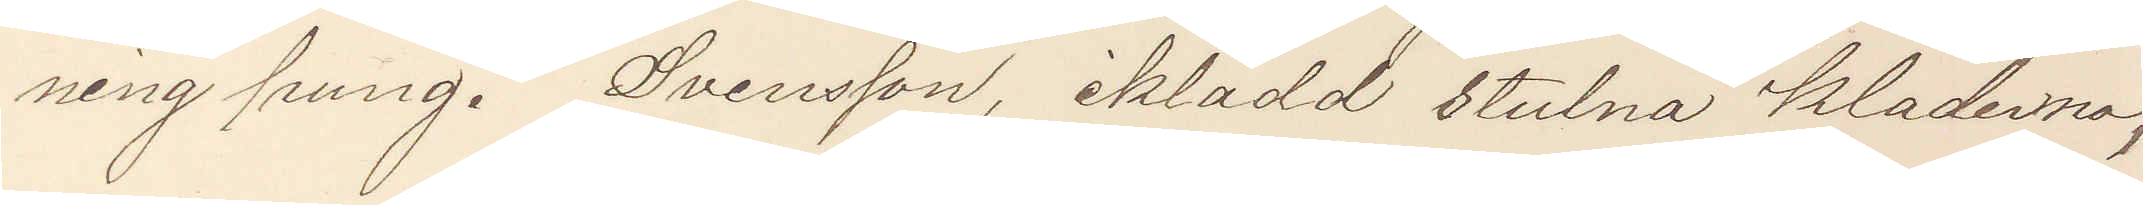ning pung. Svensson, iklädd stulna kläderna,
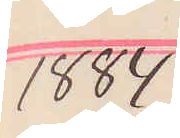1884
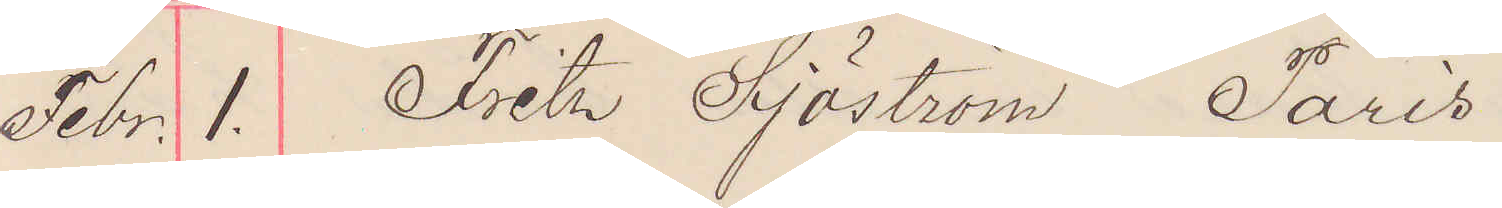Febr. 1. Fritz Sjöström Paris
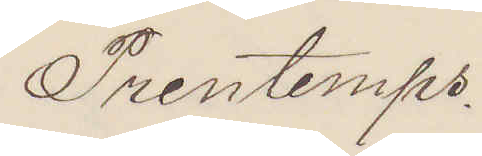Prentemps
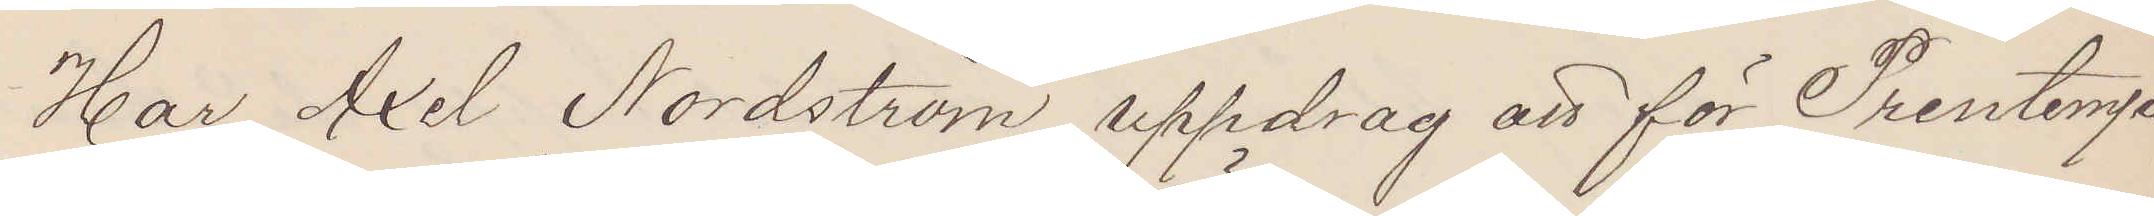Har Axel Nordström uppdrag att för Prentemps
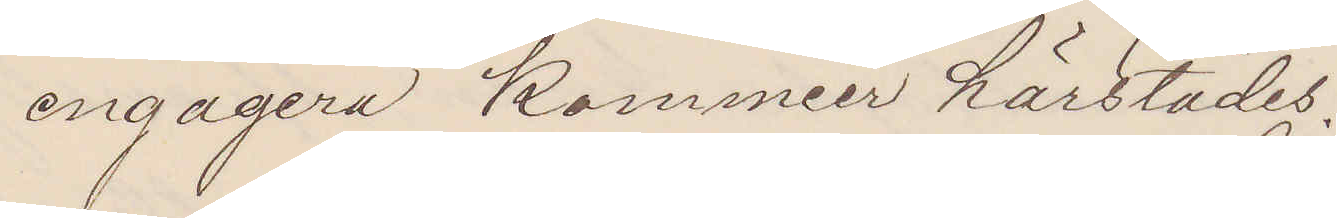engagera Kommier härstädes.
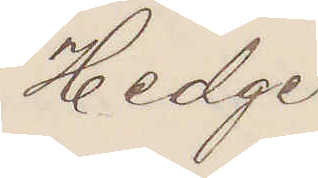Hedge
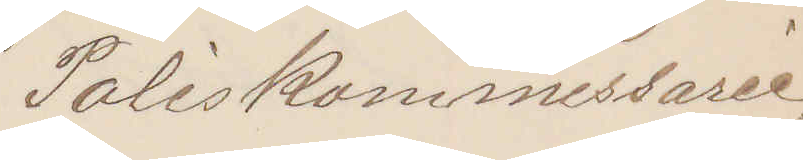Poliskommissarie.
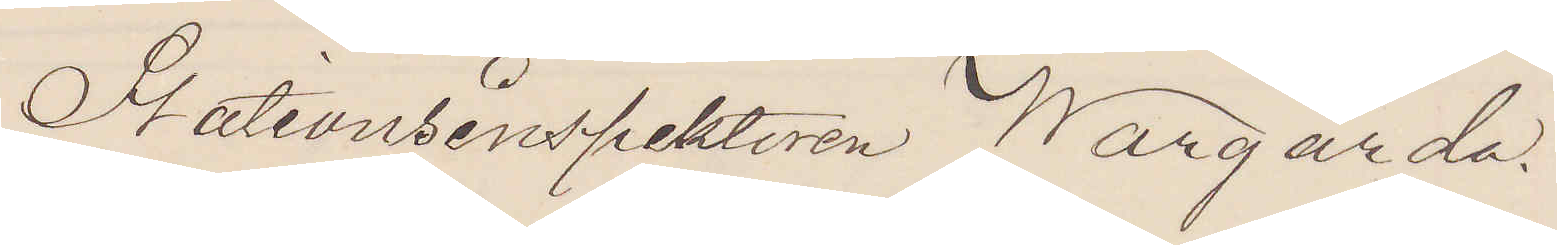Stationsinspektoren Wårgårda.
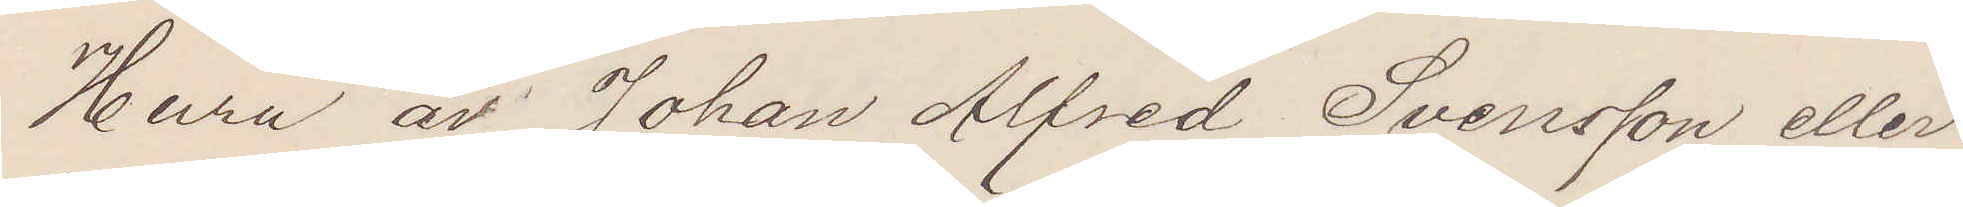Huru är Johan Alfred Svensson eller
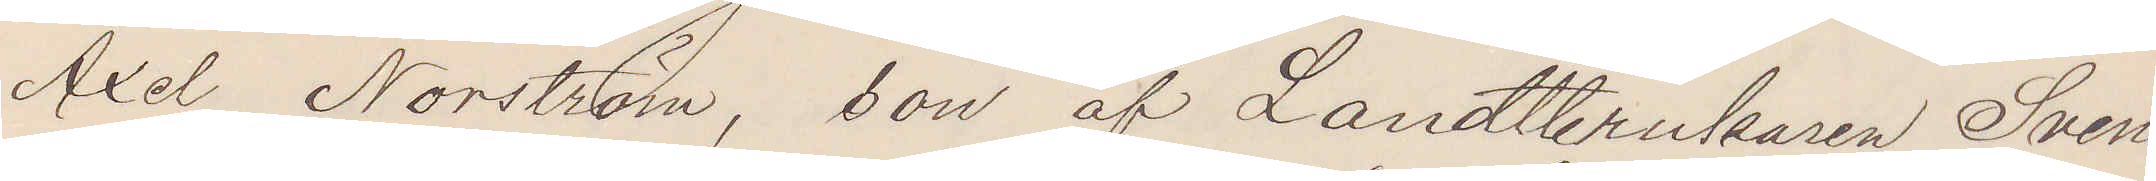Axel Nordström, son af Landtbrukaren Sven
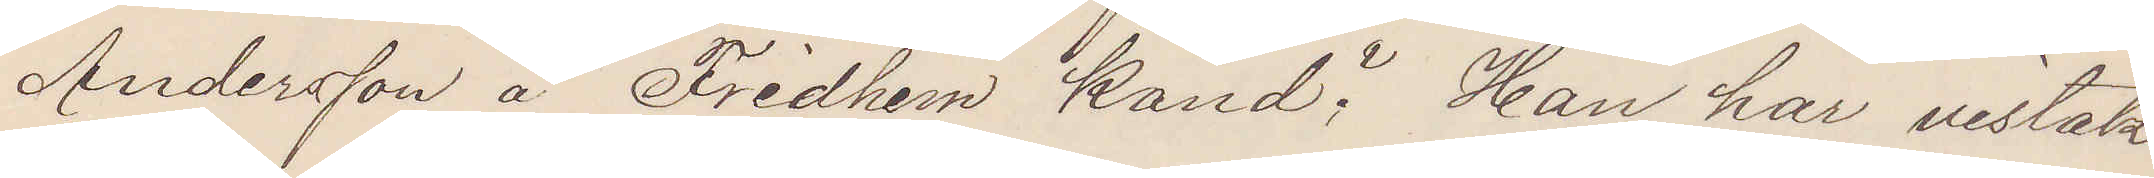Andersson å Fridhem känd? Han har vistats
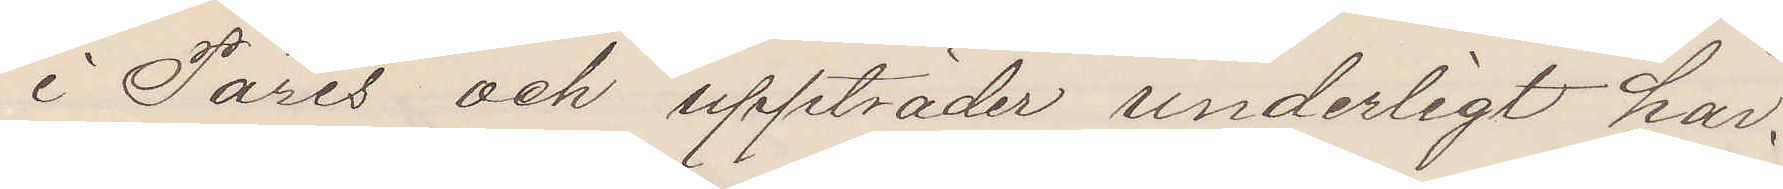i Paris och uppträder underligt här.
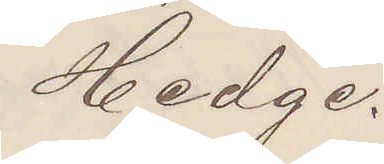Hedge.
